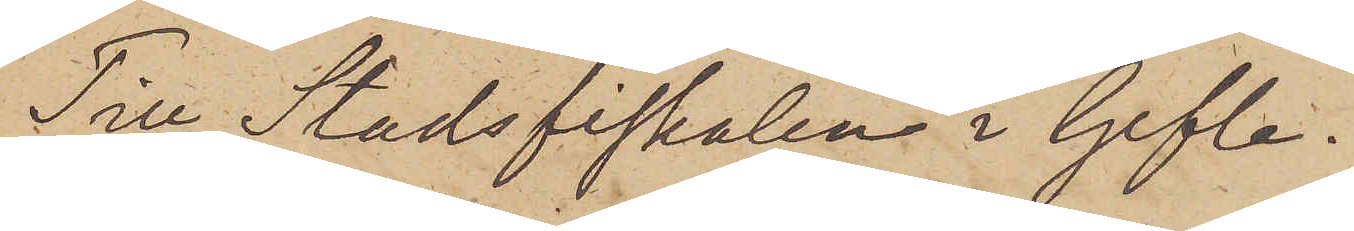Till Stadsfiskalen i Gefle.
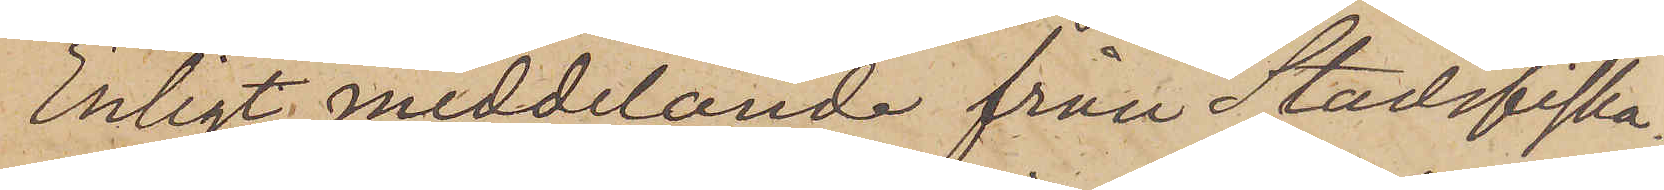Enligt meddelande från Stadsfiska¬
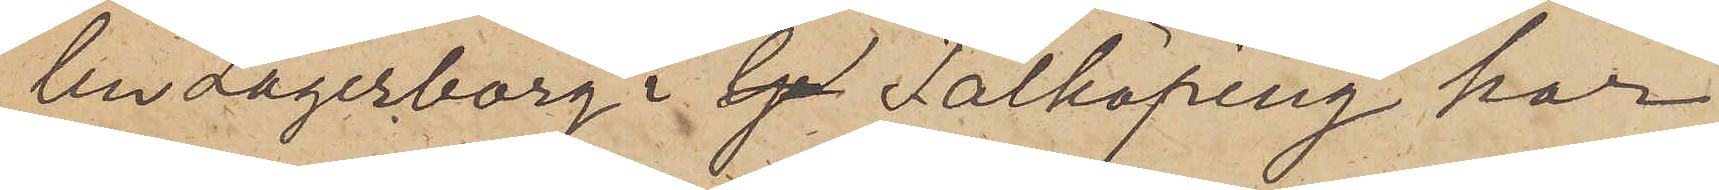len Lagerborg i Ge Falköping har
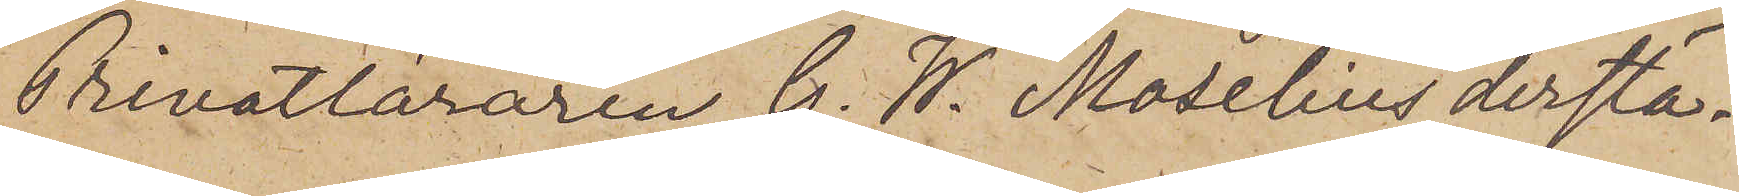Privatläraren C. W. Moselius derstä¬
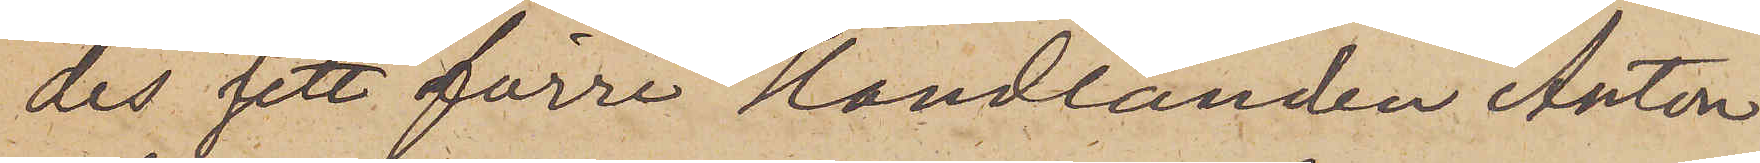des sett förre Handlanden Anton
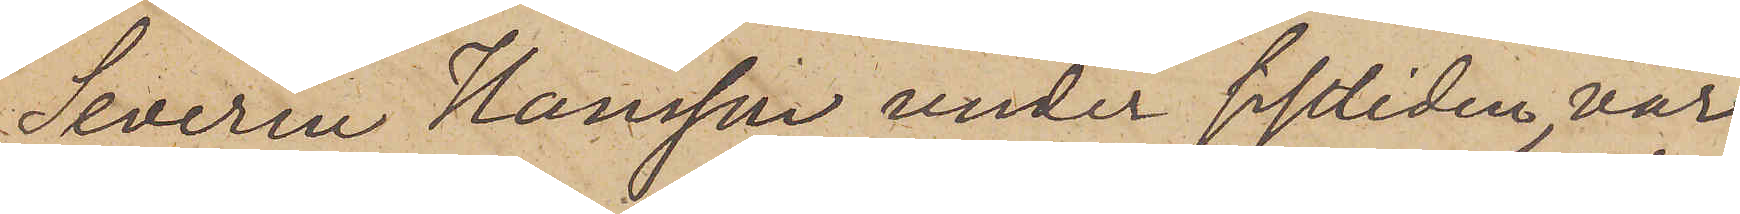Severin Hansson under sistliden vår
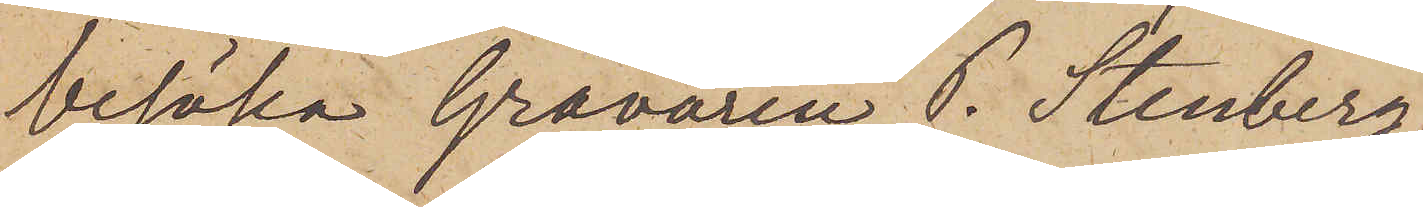besöka Gravören P. Stenberg,
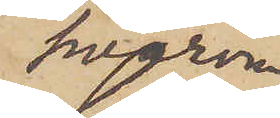hvarom
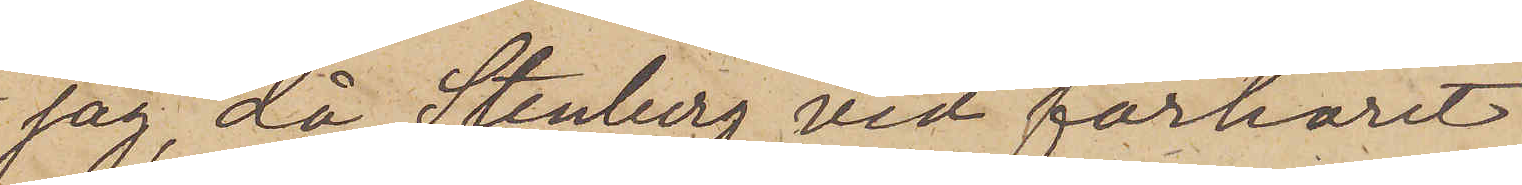jag, då Stenberg vid förhöret
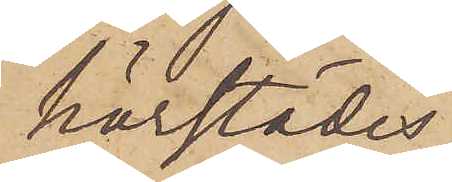härstädes
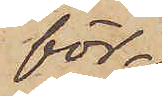för¬
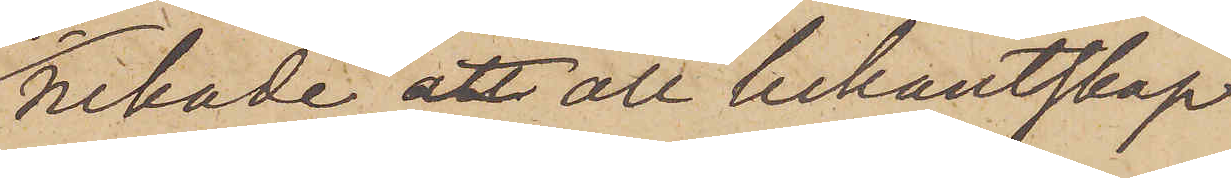nekade att all bekantskap
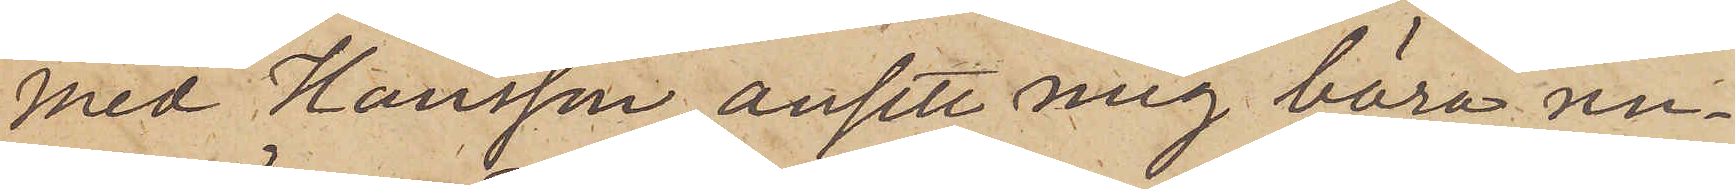med Hansson, ansett mig böra un¬
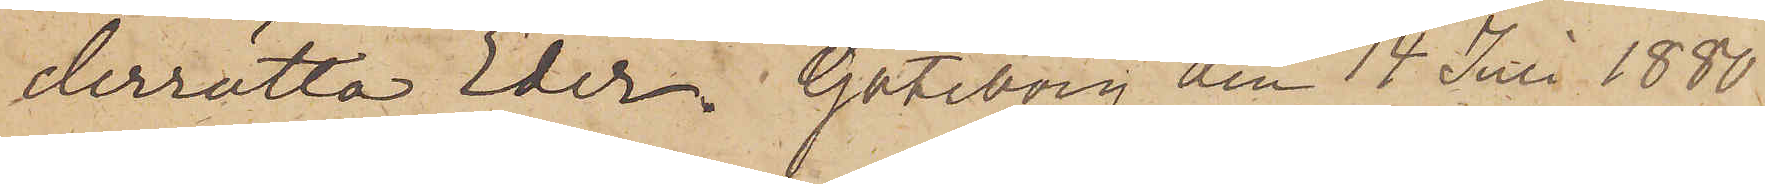derrätta Eder. Göteborg den 14 Juli 1880.
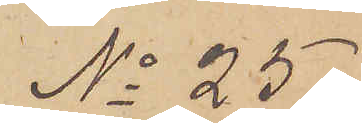No 25.
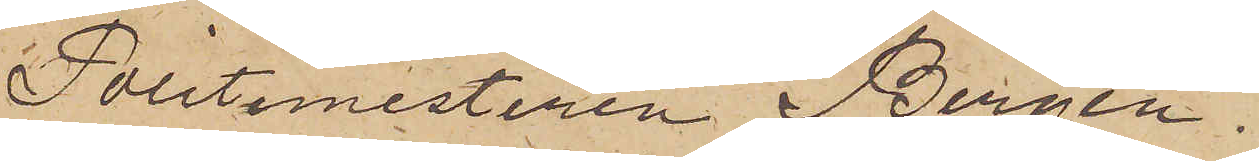Politimesteren Bergen.
